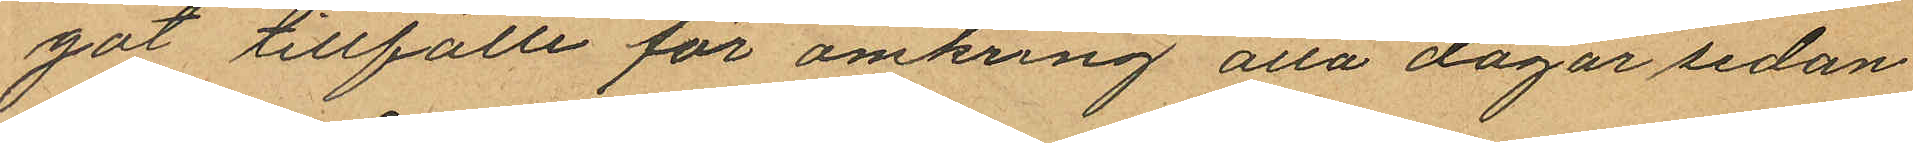got tillfälle för omkring åtta dagar sedan
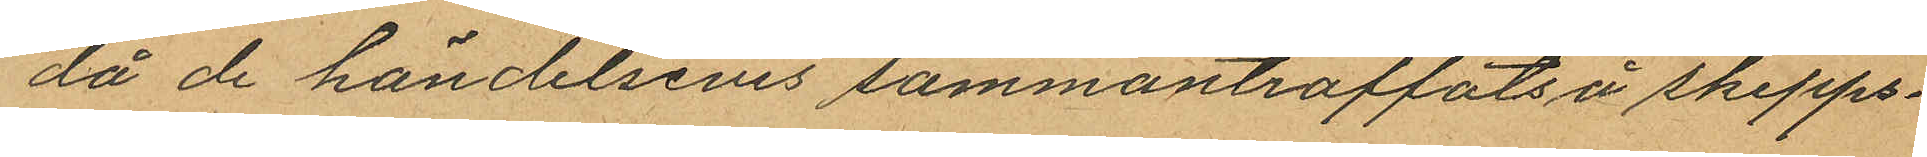då de händelsevis sammanträffats å skepps¬
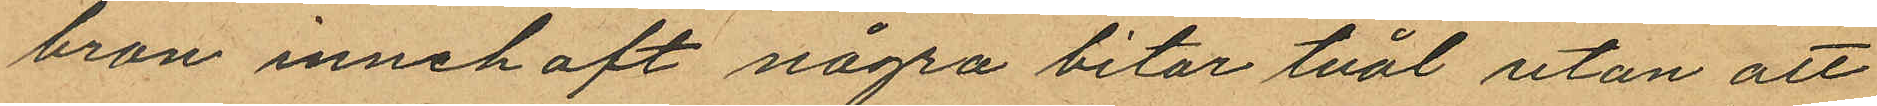bron innehaft några bitar tvål utan att
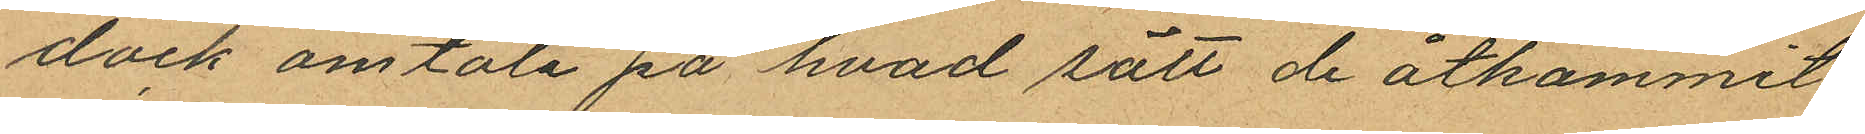dock omtala på hvad sätt de åtkommit
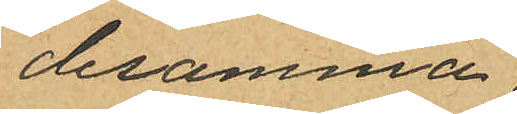desamma.
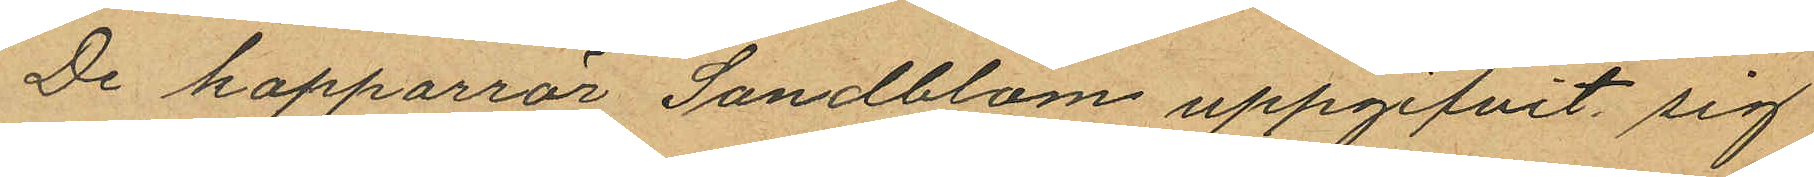De kopparrör Sandblom uppgifvit sig
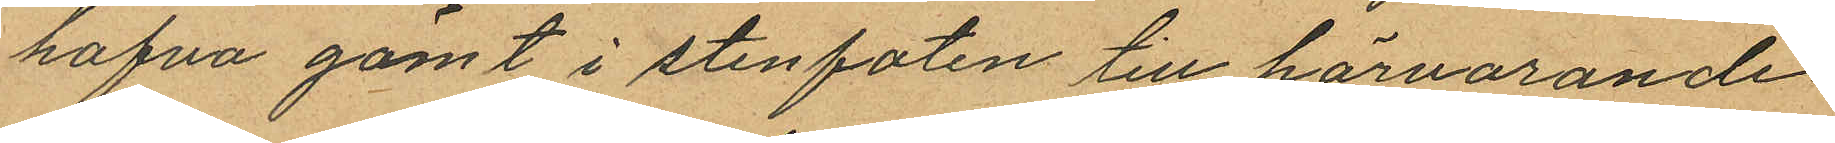hafva gömt i stenfoten till härvarande
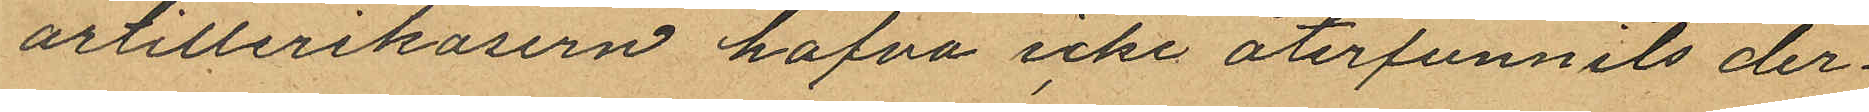artillerikasern hafva icke återfunnits der¬
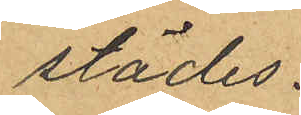städes.
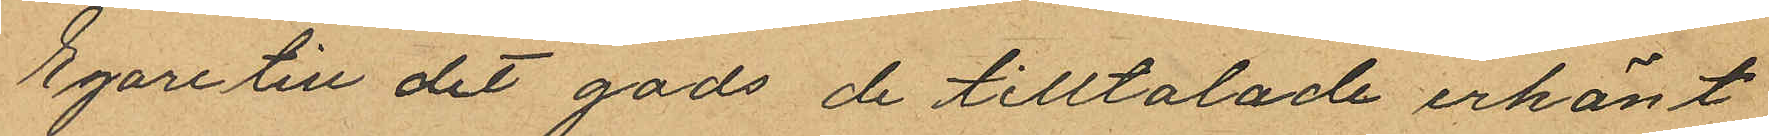Egare till det gods de tilltalade erkänt
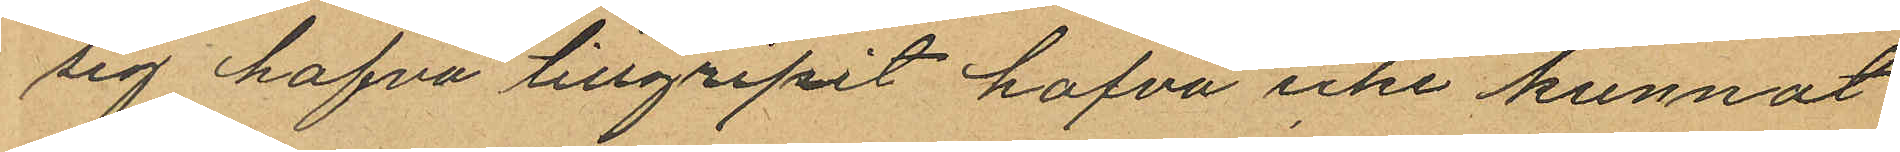sig hafva tillgripit hafva icke kunnat
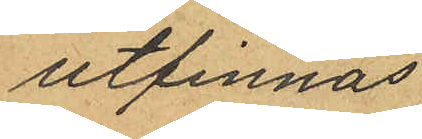utfinnas.
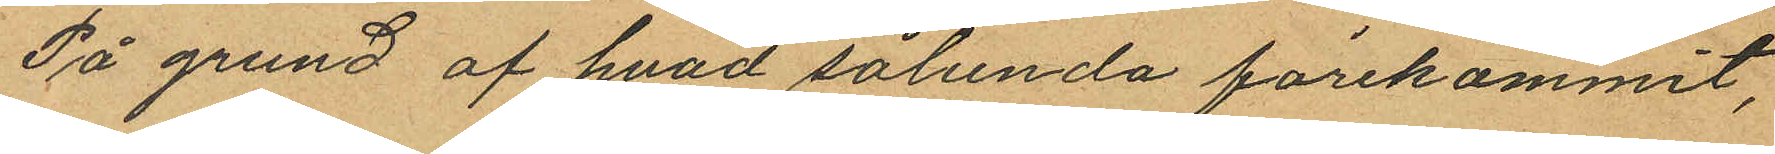På grund af hvad sålunda förekommit,
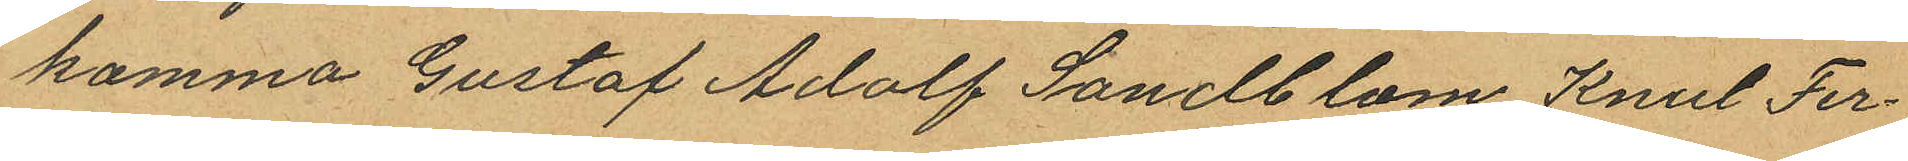komma Gustaf Adolf Sandblom Knut Fer¬
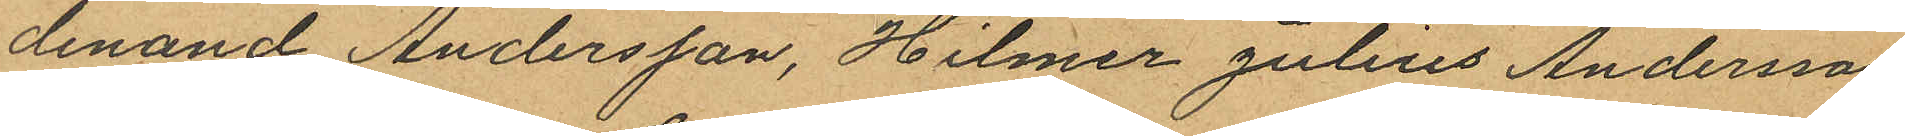dinand Andersson, Hilmer Julius Andersson
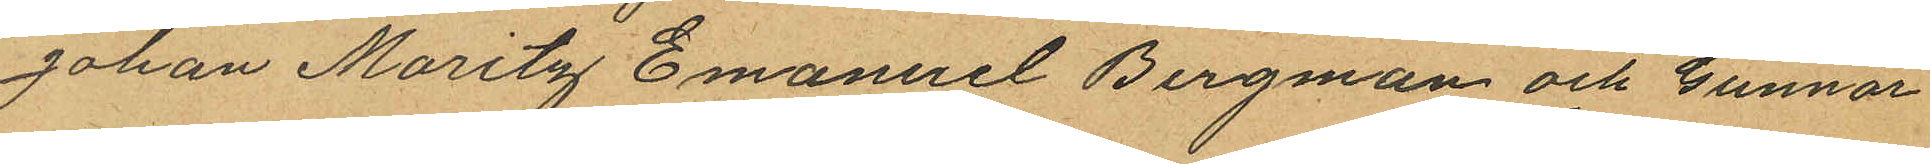Johan Moritz Emanuel Bergman och Gunnar
